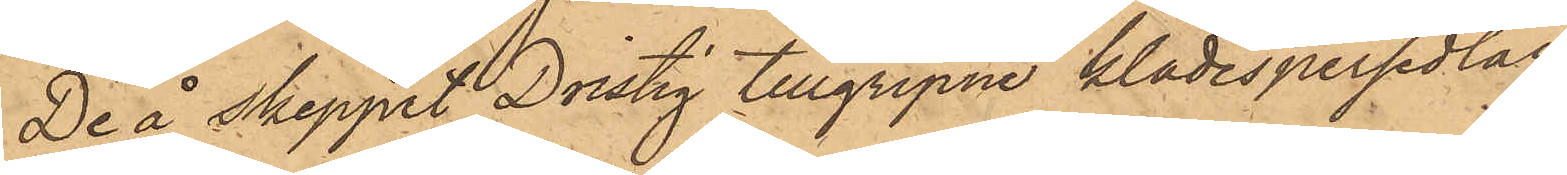De å Skeppet Dristig tillgripne klädespersedlar
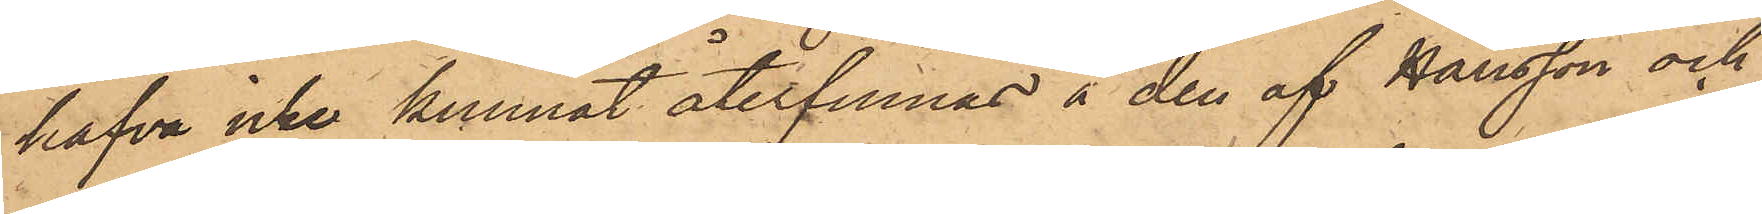hafva icke kunnat återfinnas å den af Hansson och
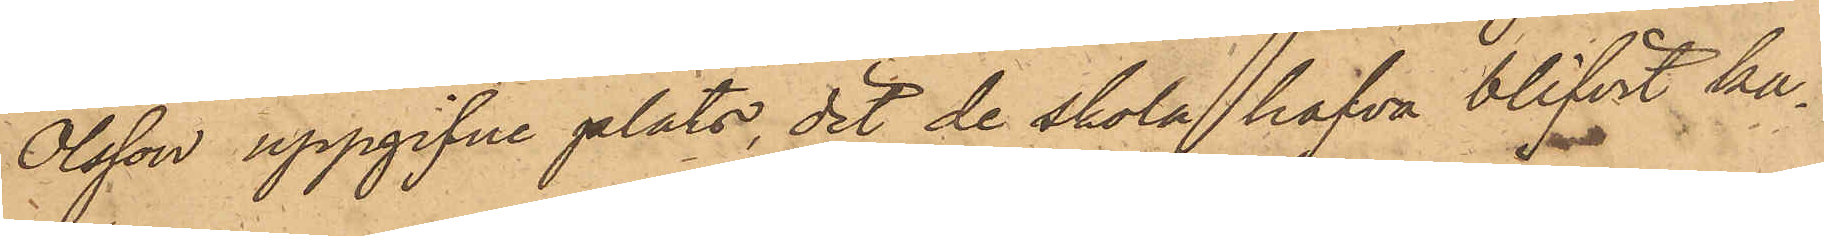Olsson uppgifne plats, dit de skola hafva blifvit ka¬
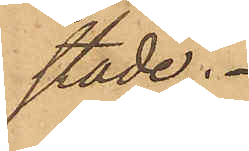stade.
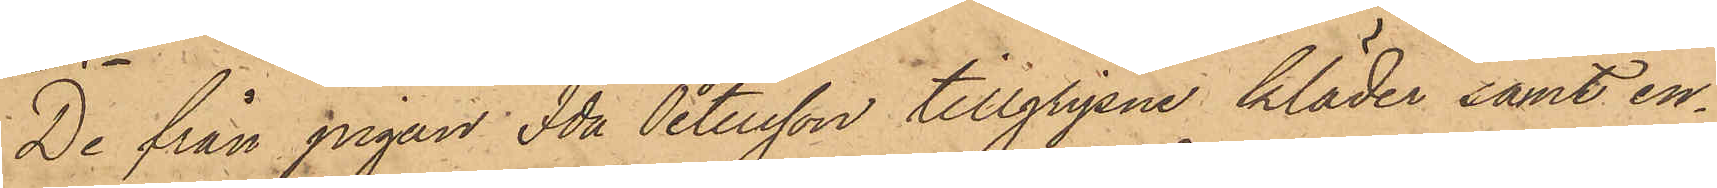De från pigan Ida Petersson tillgripne kläder samt en¬
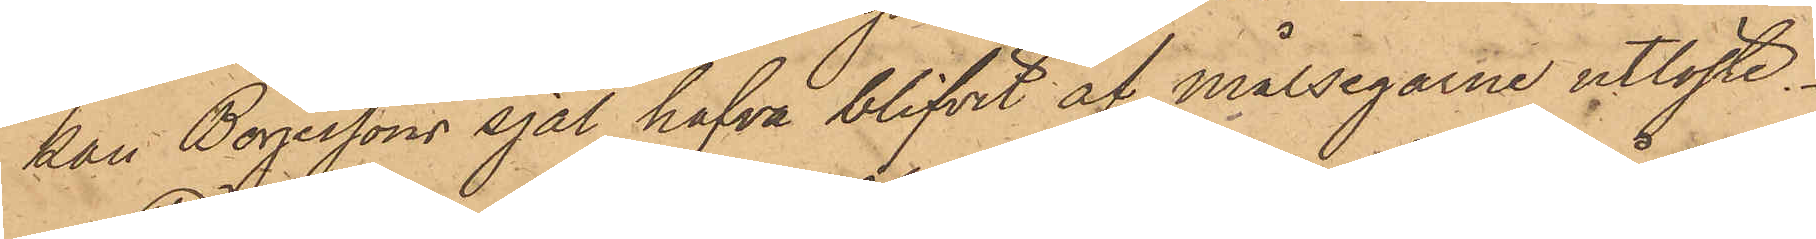kan Börjessons sjal hafva blifvit af målsegarne utlöste.
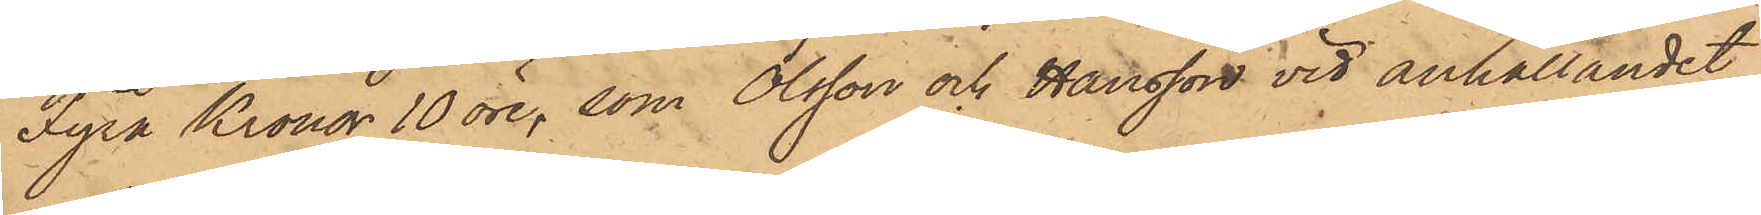Fyra Kronor 10 öre, som Olsson och Hansson vid anhållandet
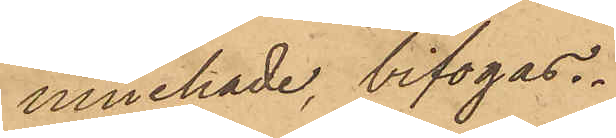innehade, bifogas.
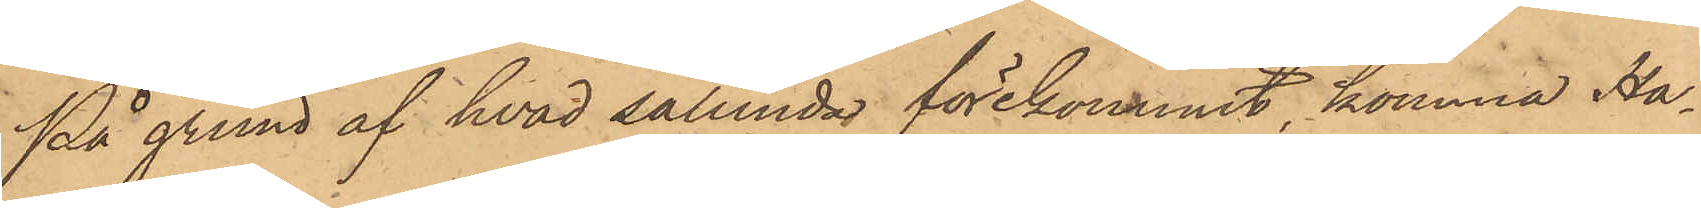På grund af hvad sålunda förekommit, komma Ha¬
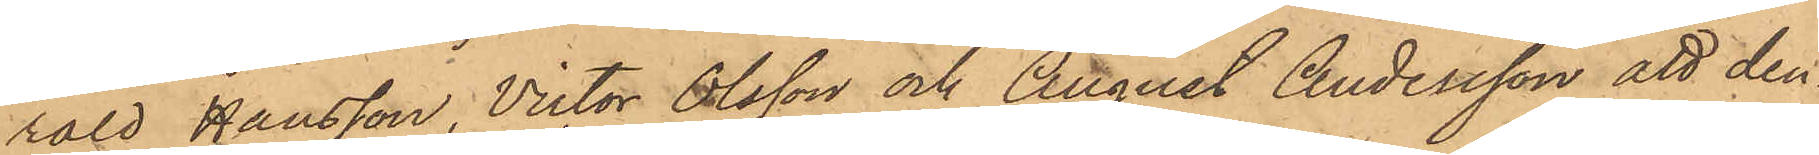rald Hansson, Victor Olsson och August Andersson att den¬
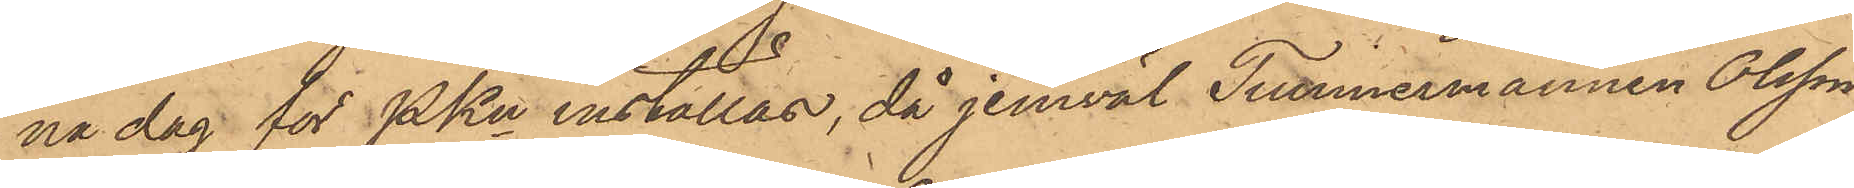na dag för PKn inställas, då jemväl Timmermannen Olsson,
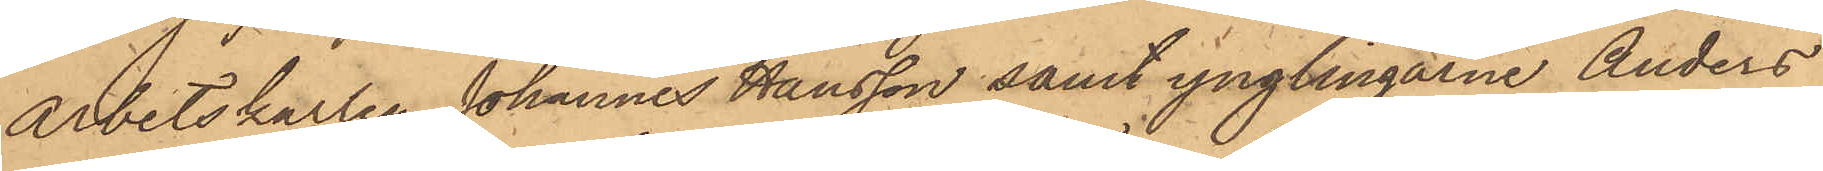arbetskarlen Johannes Hansson samt ynglingarne Anders
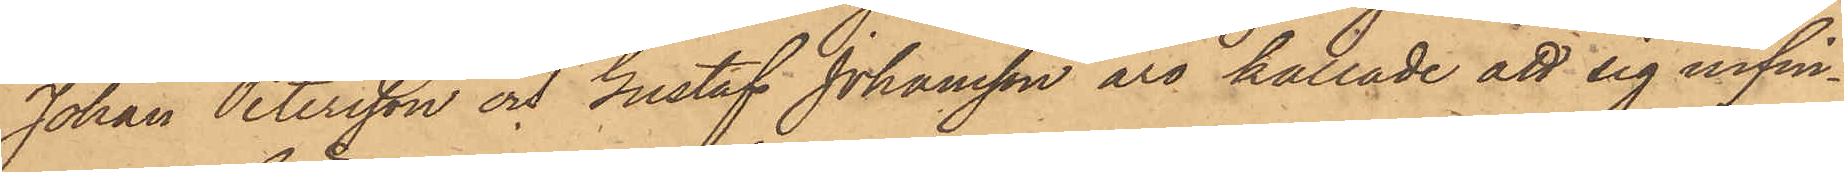Johan Petersson och Gustaf Johansson äro kallade att sig infin¬
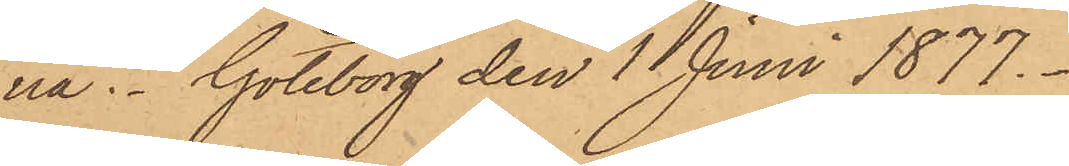na. Göteborg den 1 Juni 1877.
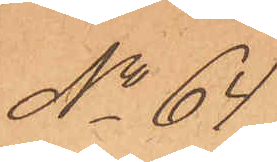No 64
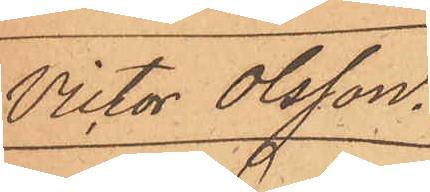Victor Olsson.
